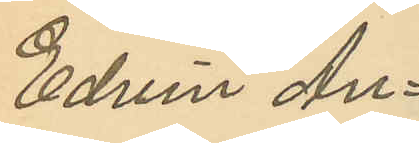Edvin An¬
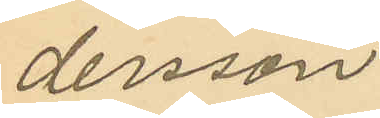dersson
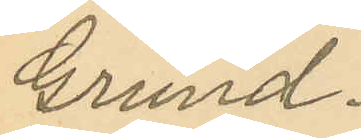Grund.
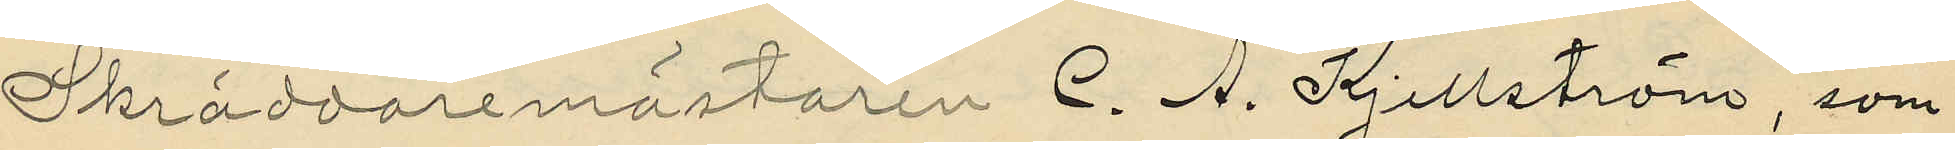Skräddaremästaren C. A. Kjellström, som
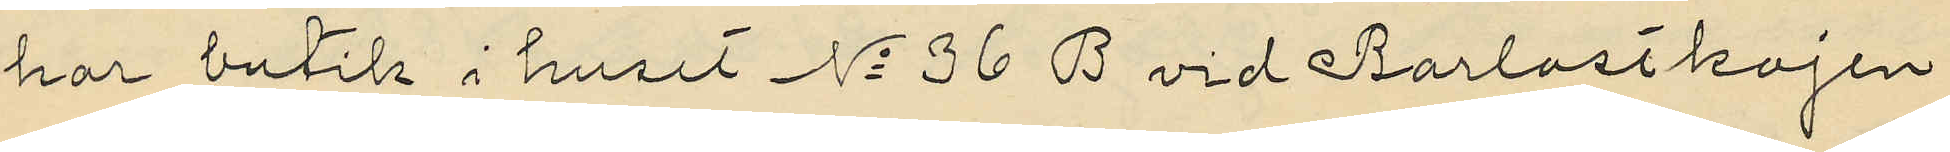har butik i huset No 36 B vid Barlastkajen
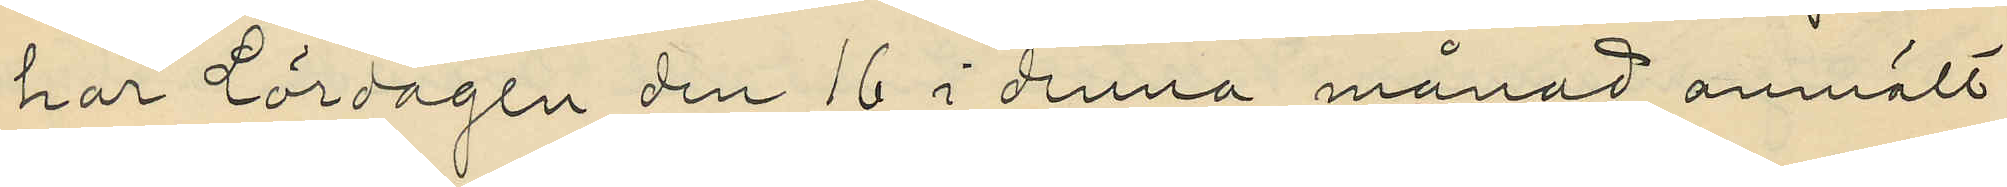har lördagen den 16 i denna månad anmält
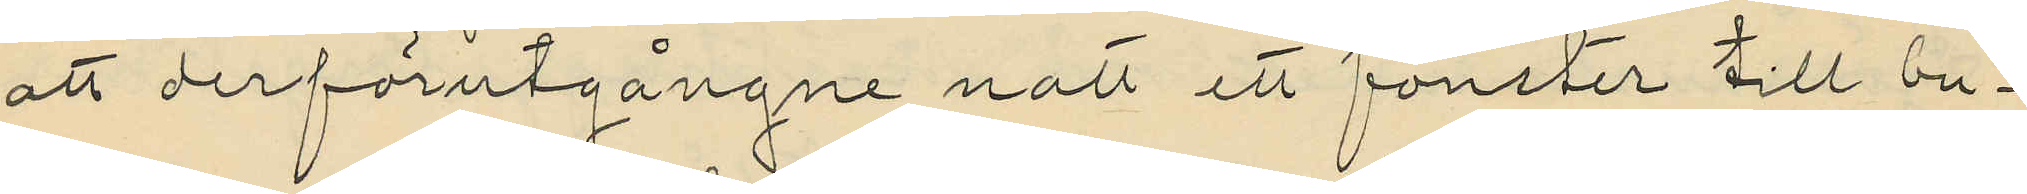att derförutgångne natt ett fönster till bu¬
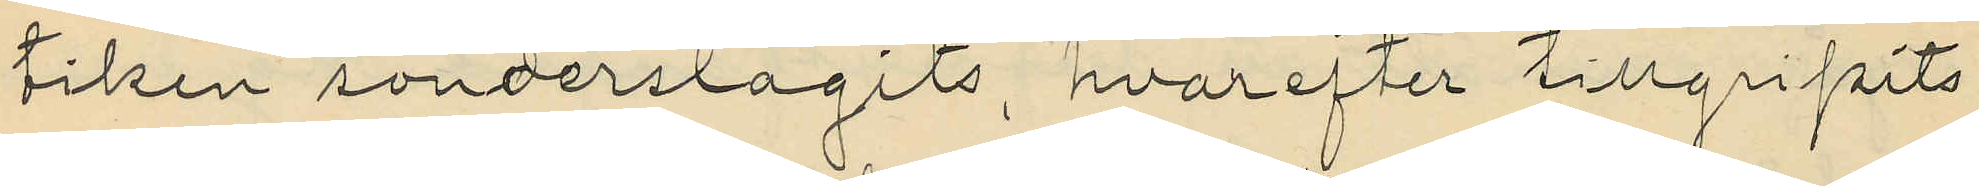tiken sönderslagits, hvarefter tillgripits
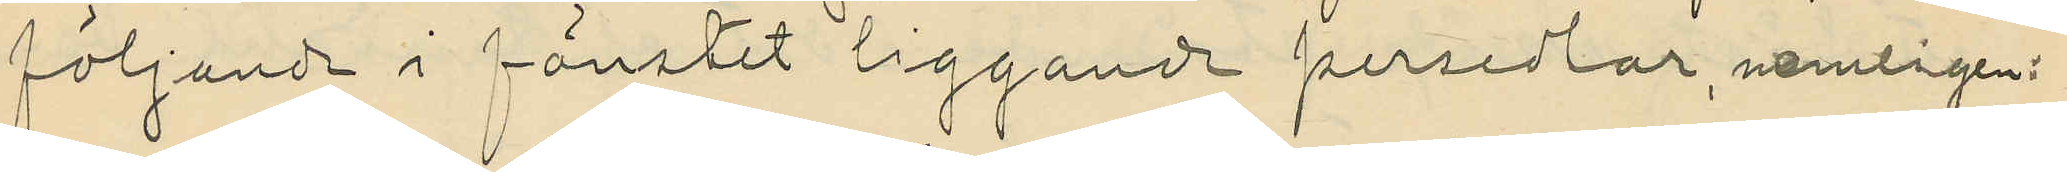följande i fönstet liggande persedlar, nemligen:
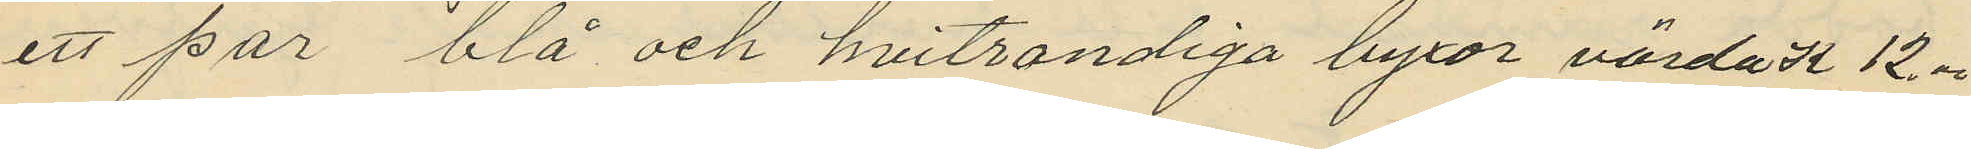ett par blå och hvitrandiga byxor värda K 12.00
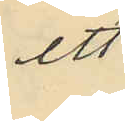ett
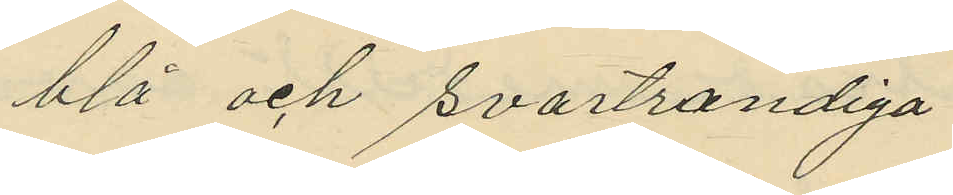blå och svartrandiga
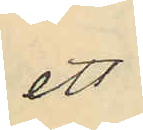ett
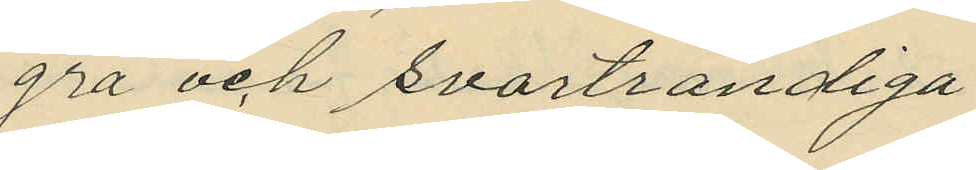grå och svartrandiga
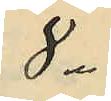8
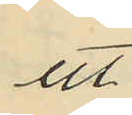ett
